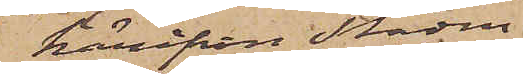härifrån Staden
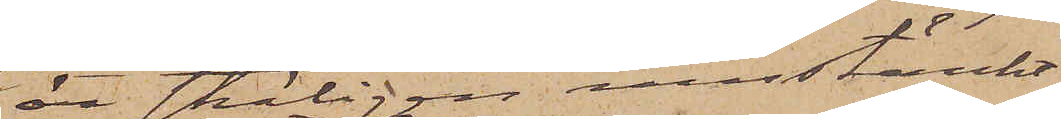är skäligen misstänkt
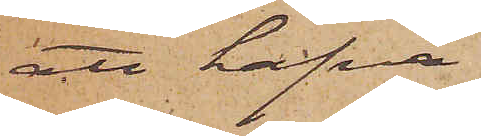att hafva
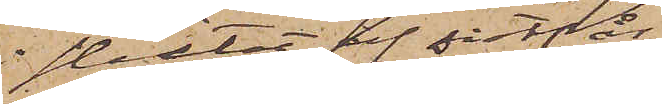slutet af sistl. år
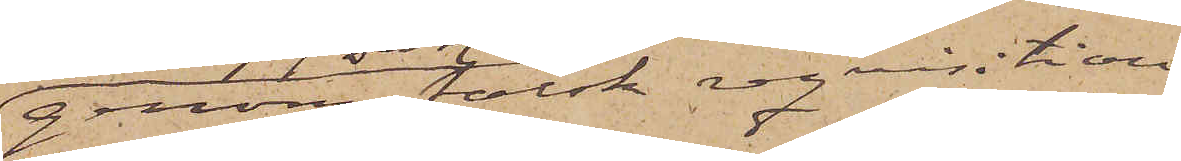genom falsk reqvisition
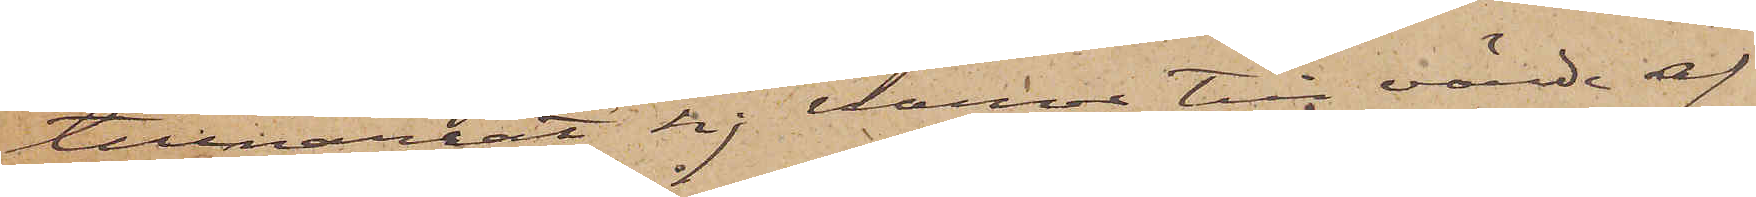tillnarrat sig varor till värde af
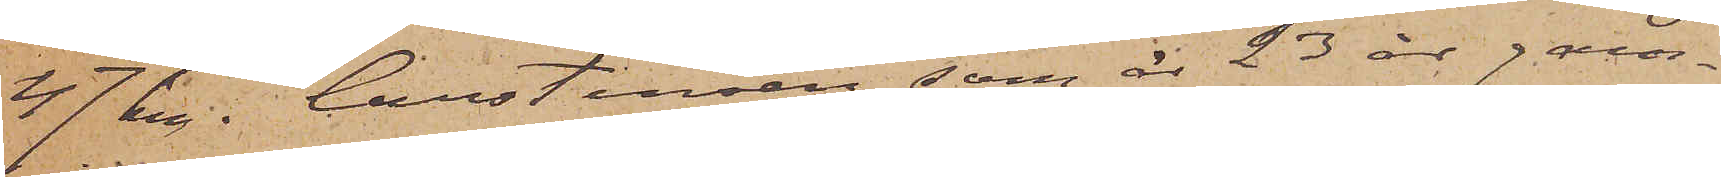47 kr. Carstensen, som är 23 år gam¬
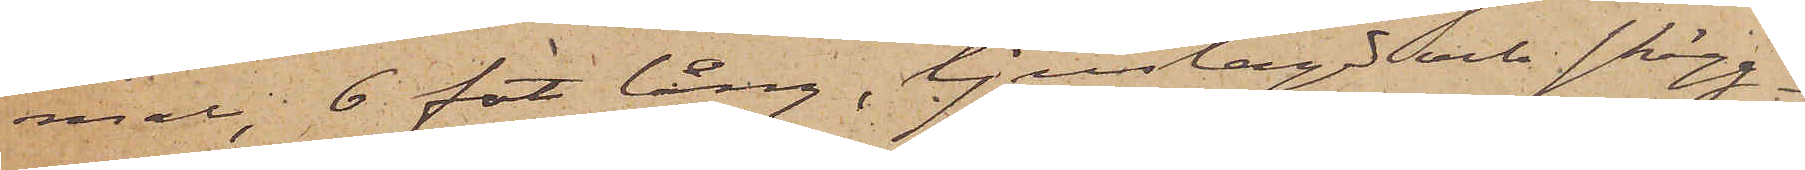mal, 6 fot lång, ljuslagd och skägg¬
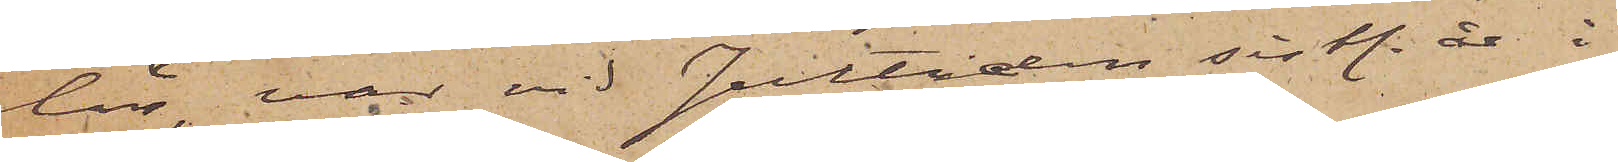lös var vid Jultiden sistl. år i
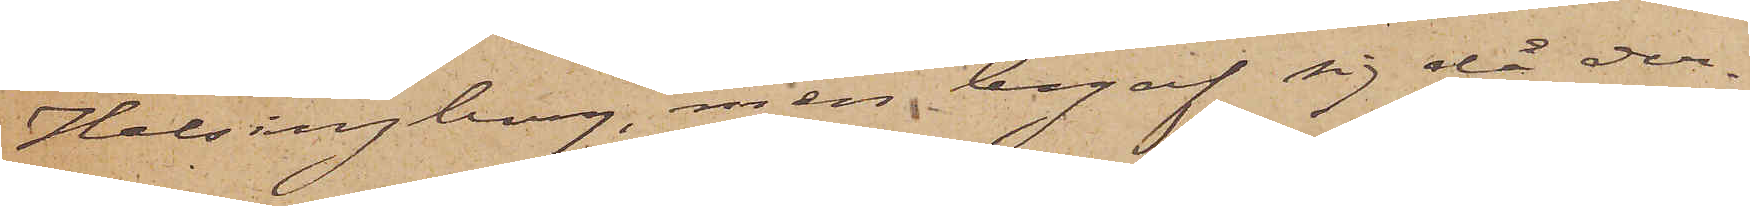Helsingborg, men begaf sig då der¬
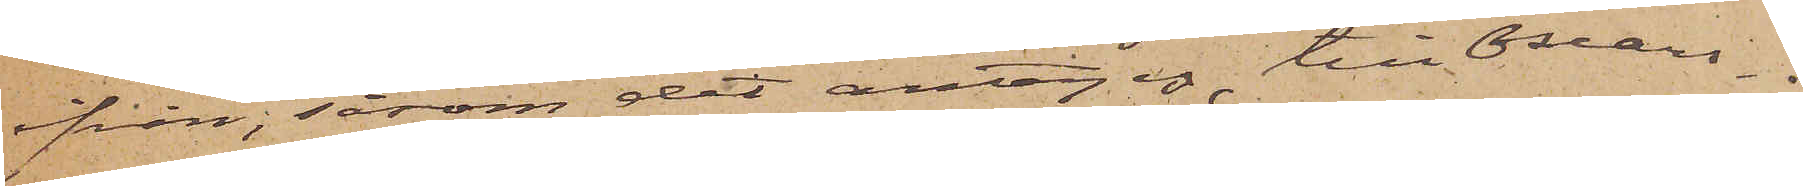ifrån, såsom det antages, till Oscars¬
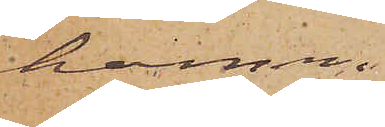hamn.
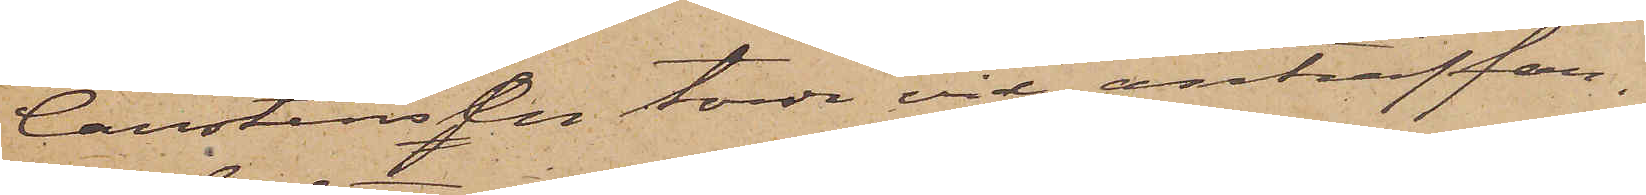Carstensen torde vid anträffan¬
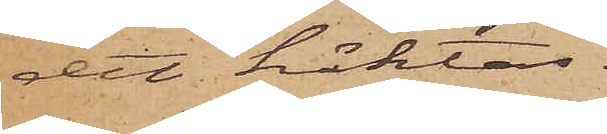det häktas.
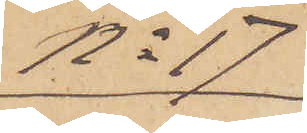No 17
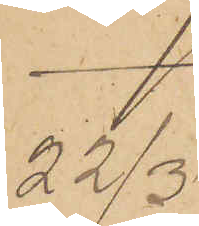22/3
